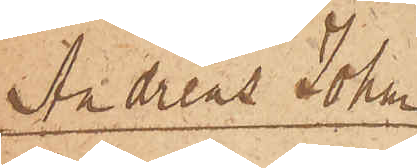Andreas Johan¬
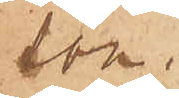son.
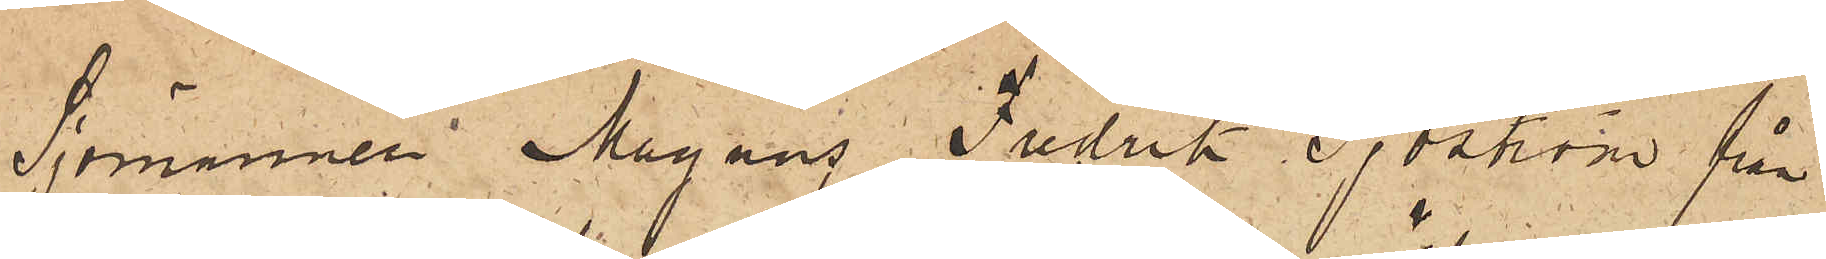Sjömannen Magnus Fredrik Sjöstöm från
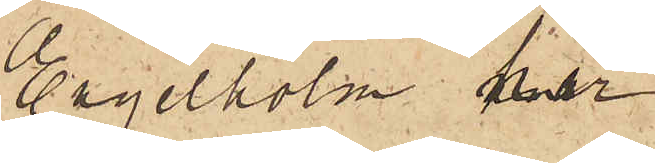Engelholm har
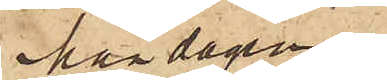Måndagen
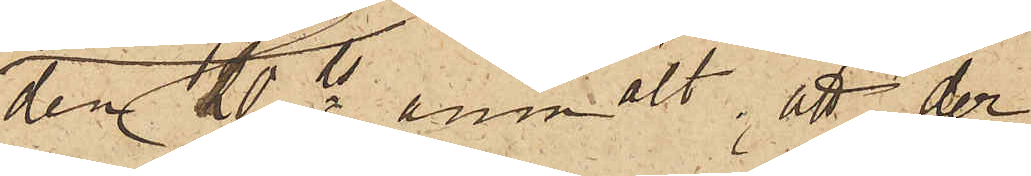den 10ds anmält, att den
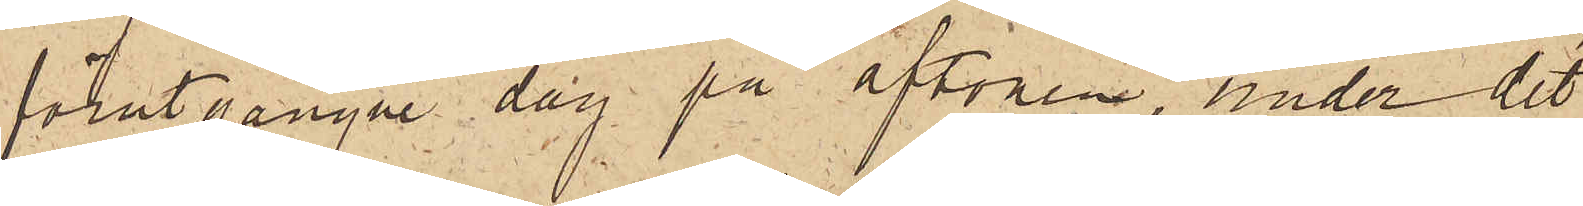förutgångne dag på aftonen, under det
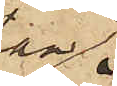han
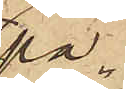på¬
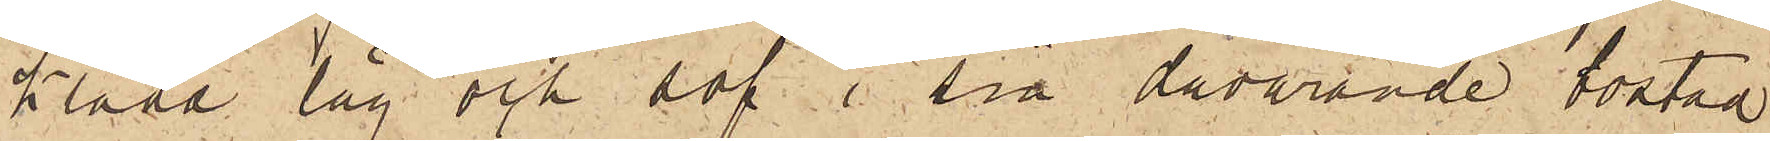klädd låg och sof i sin dåvarande bostad
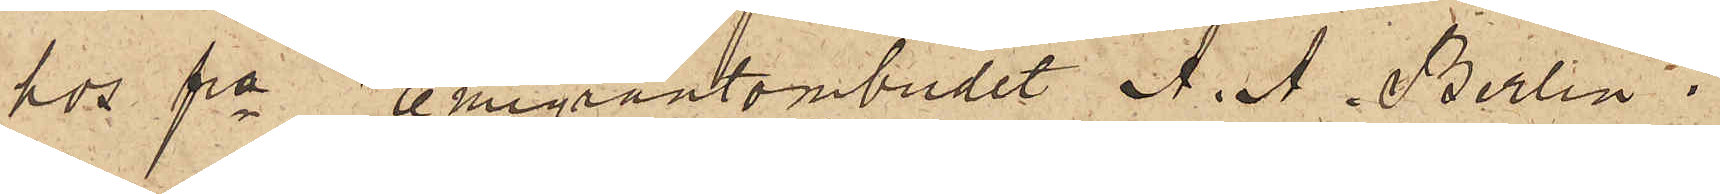hos fre Emigrantombudet A. A. Berlin i
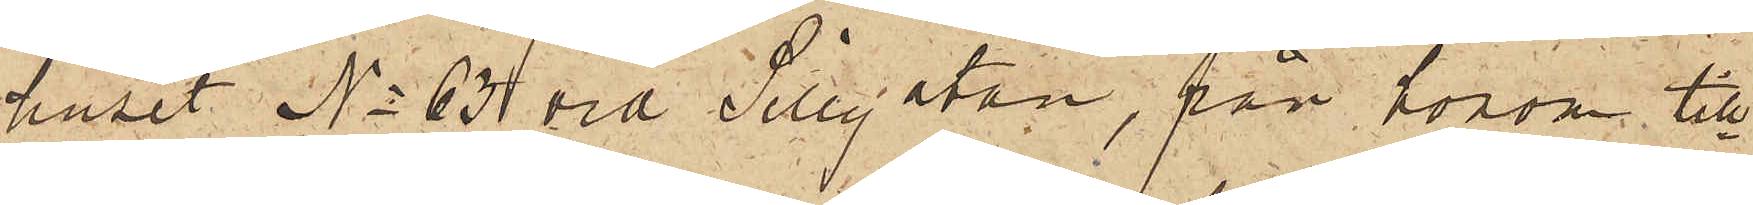huset No 63 vid Sillgatan, från honom till¬
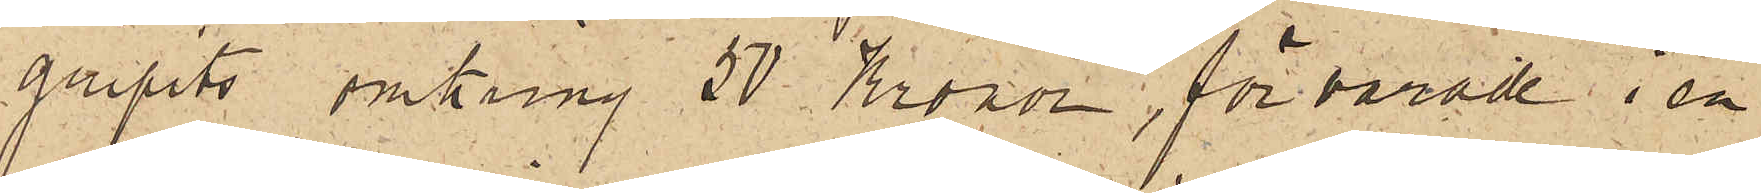gripits omkring 50 Kronor, förvarade i en
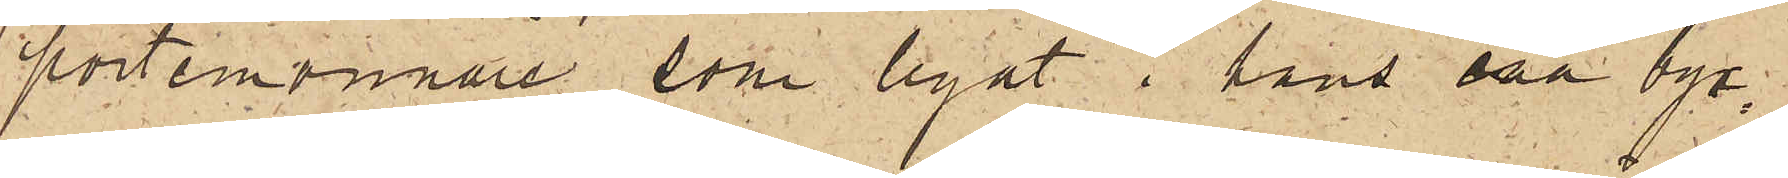portemonnaie, som legat i hans ena byx¬
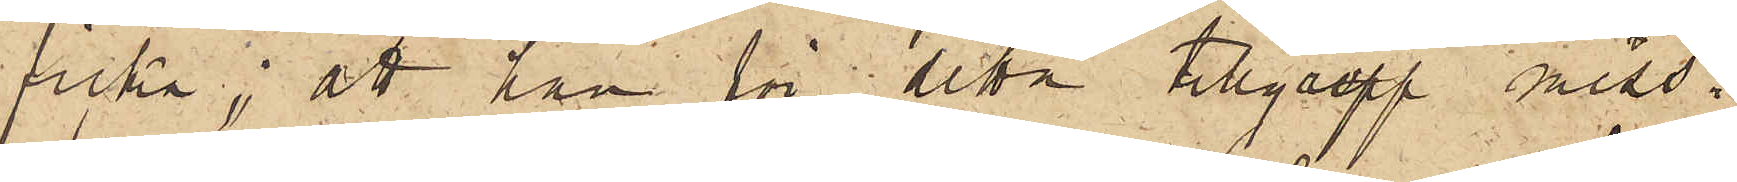ficka; att han för detta tillgrepp miss¬
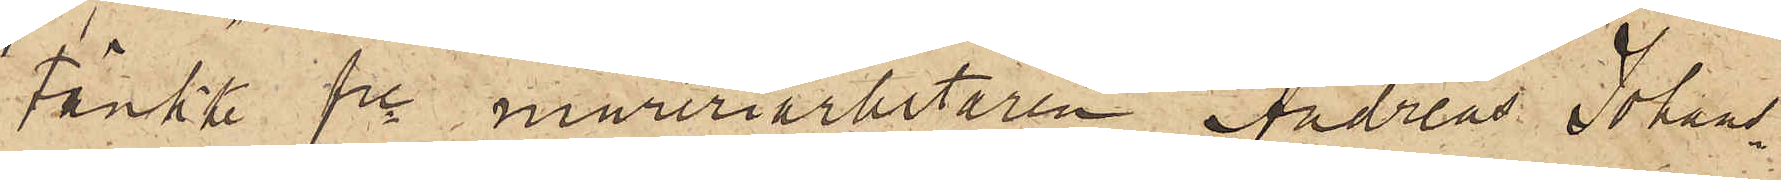tänkte fre mureriarbetaren Andreas Johans¬
